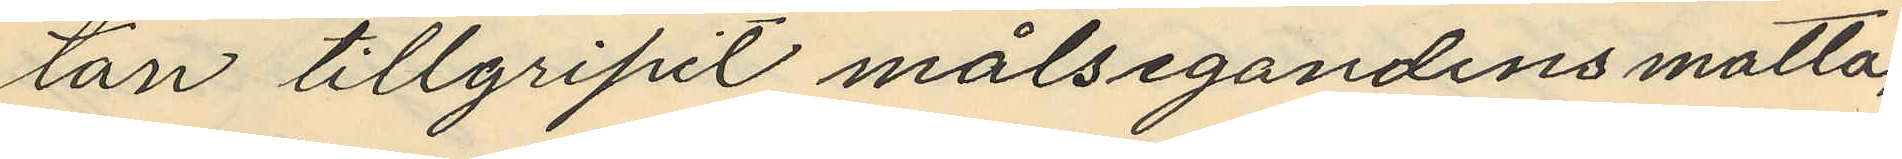tan tillgripit målsegandens matta,
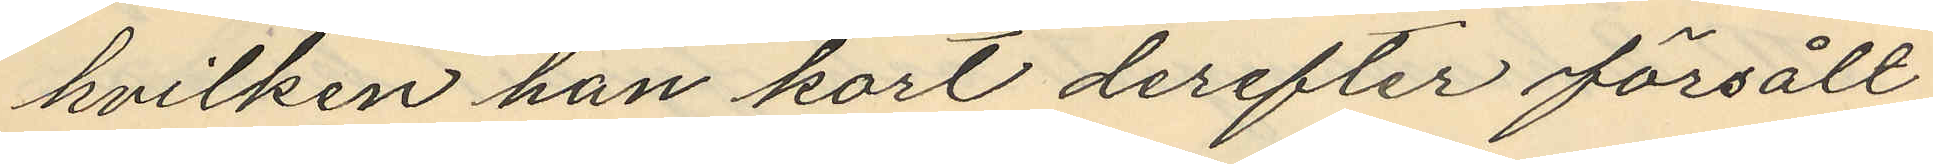hvilken han kort derefter försålt
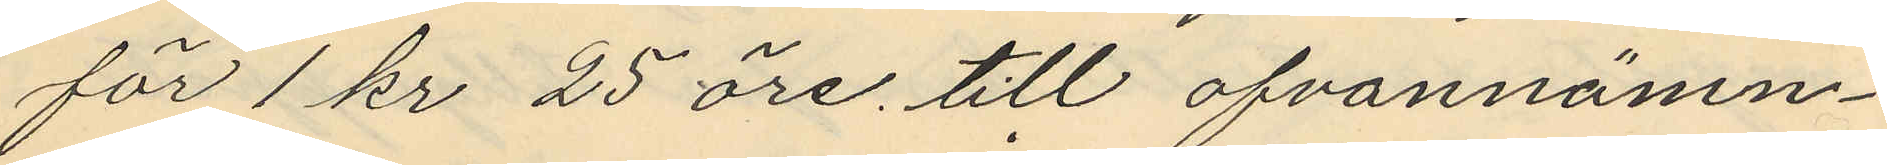för 1 kr 25 öre till ofvannämn¬
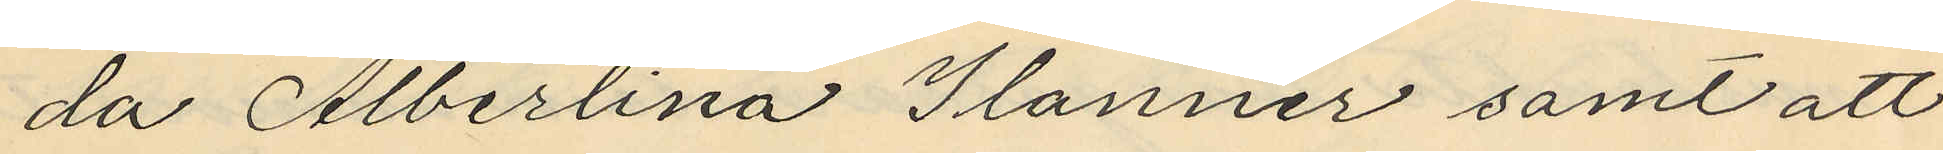da Albertina Ilanner samt att
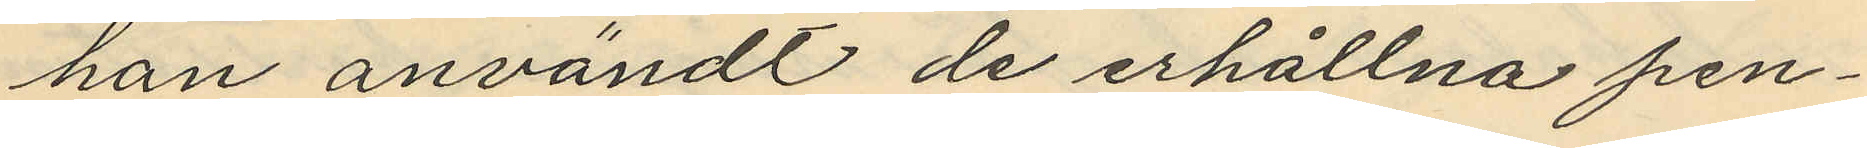han användt de erhållna pen¬
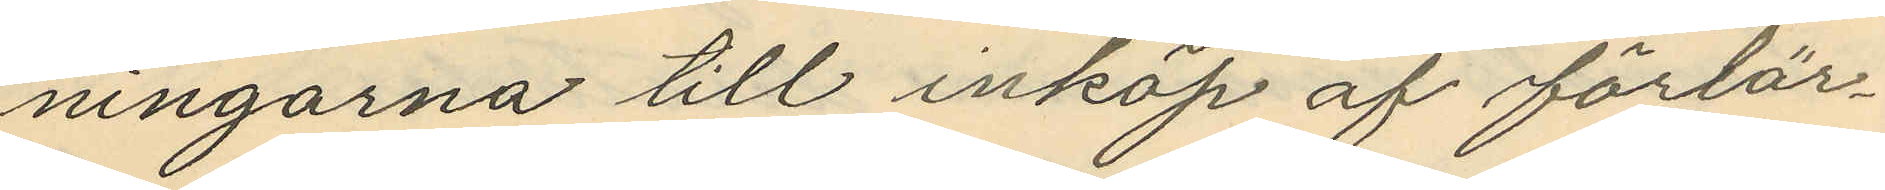ningarna till inköp af förtär¬
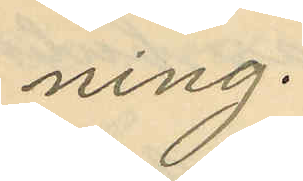ning.
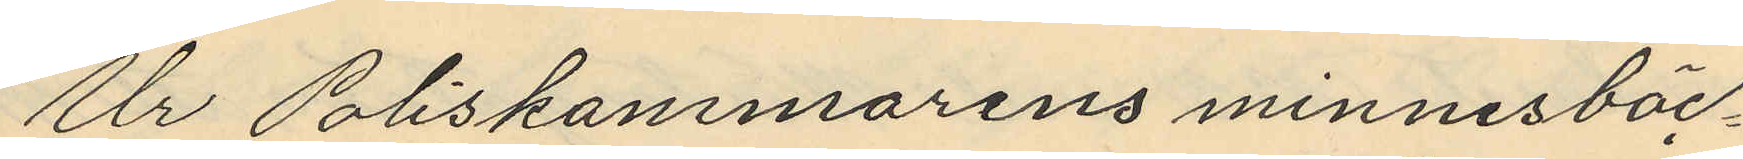Ur Poliskammarens minnesböc¬
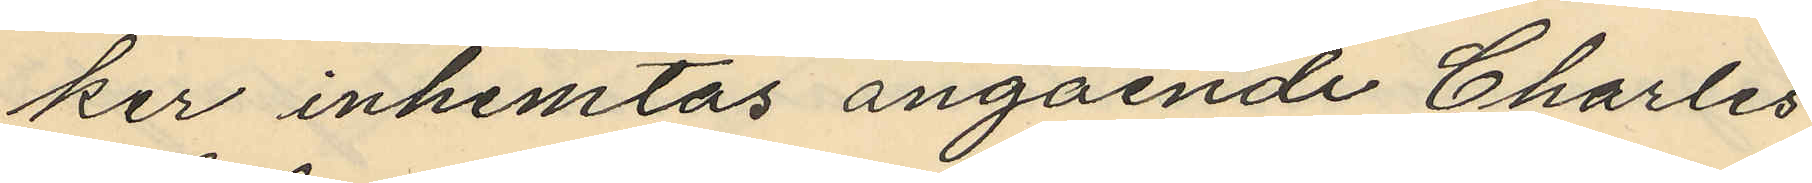ker inhemtas angående Charles
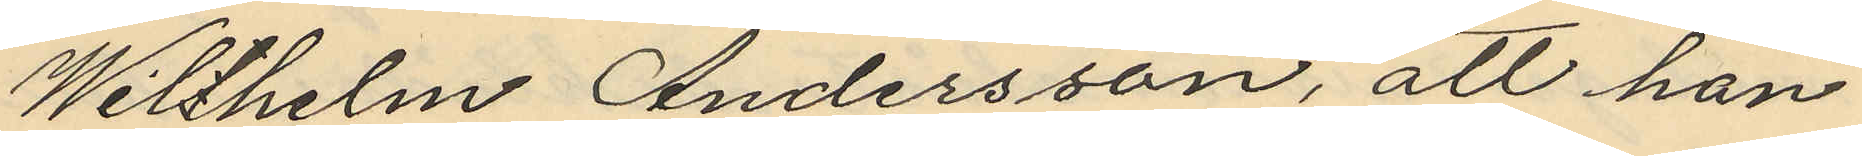Wilhelm Andersson, att han
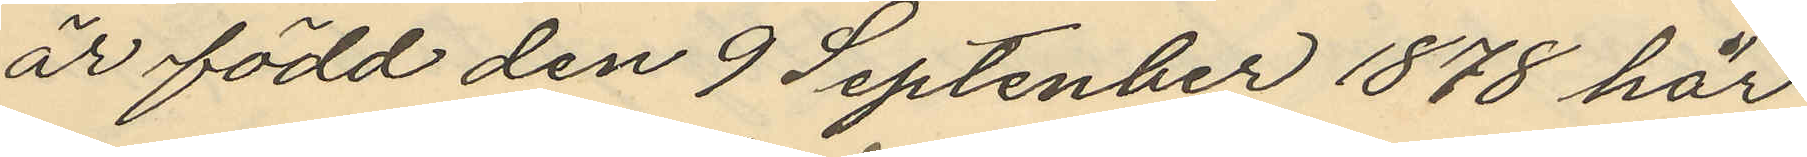är född den 9 September 1878 här
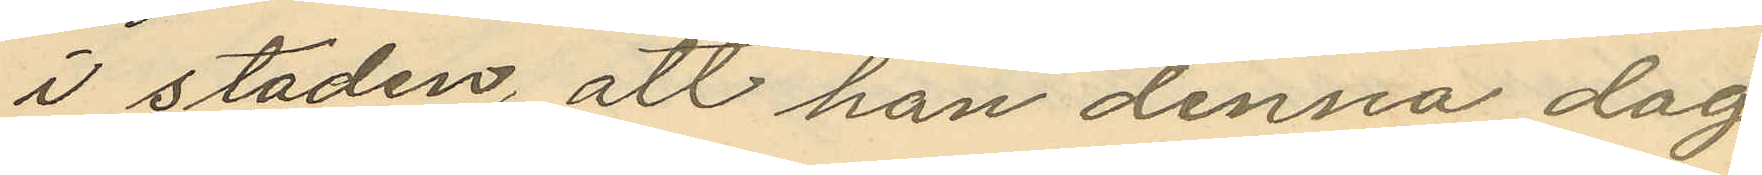i staden, att han denna dag
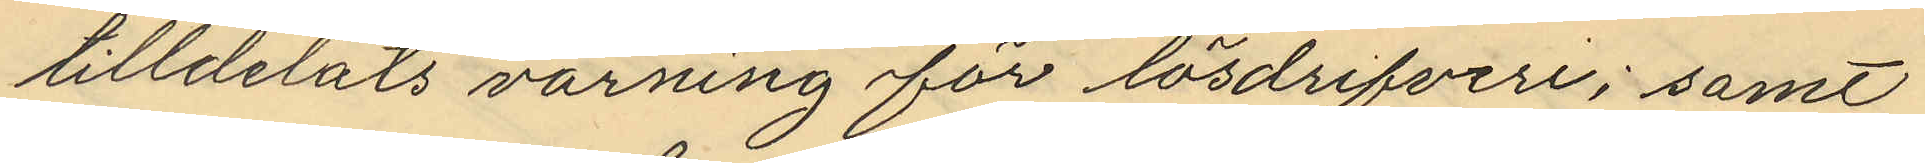tilldelats varning för lösdrifveri; samt
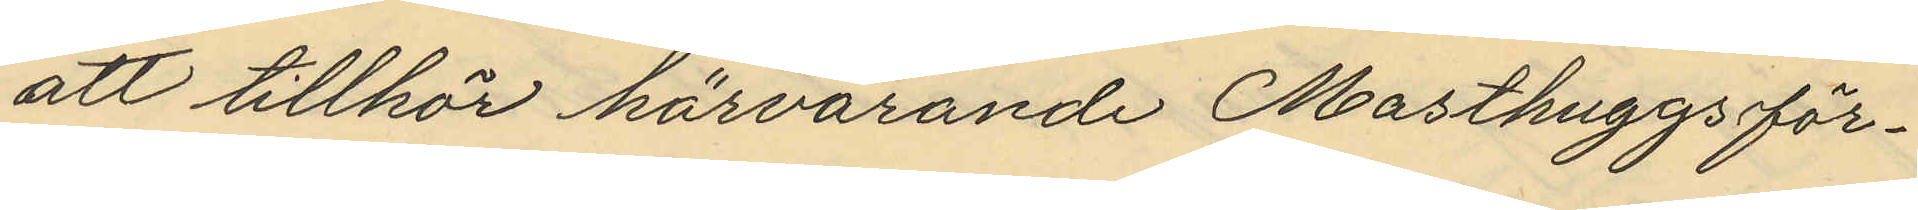att tillhör härvarande Masthuggs för¬
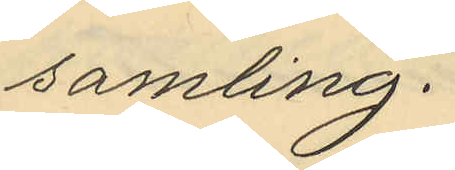samling.
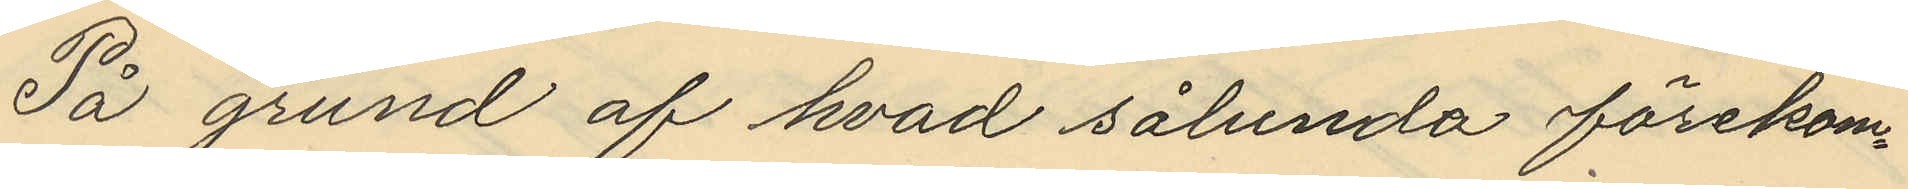På grund af hvad sålunda förekom¬
